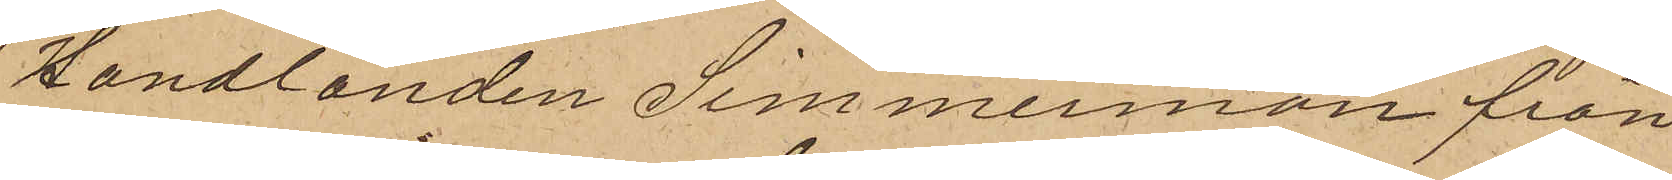Handlanden Simmermon från
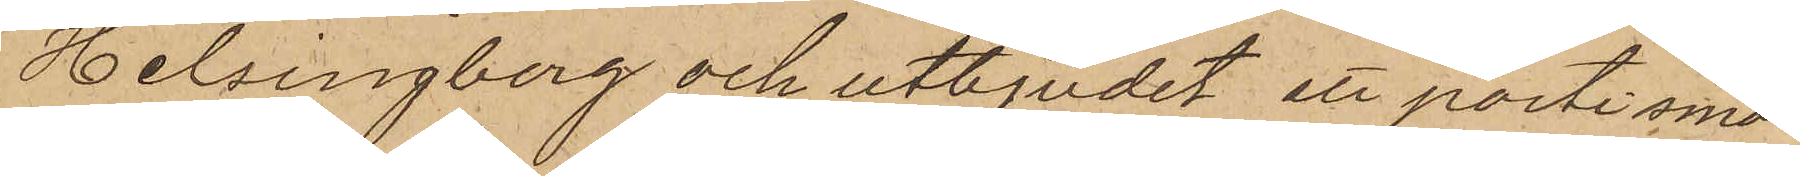Helsingborg och utbjudit ett parti smör;
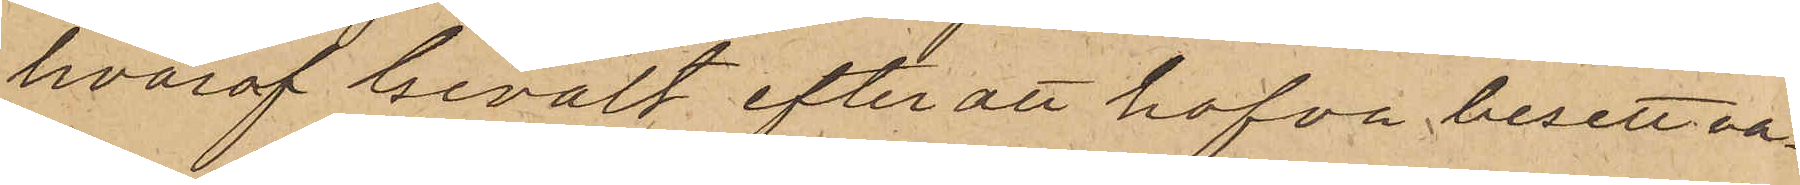hvaraf Gevalt efter att hafva besett va¬
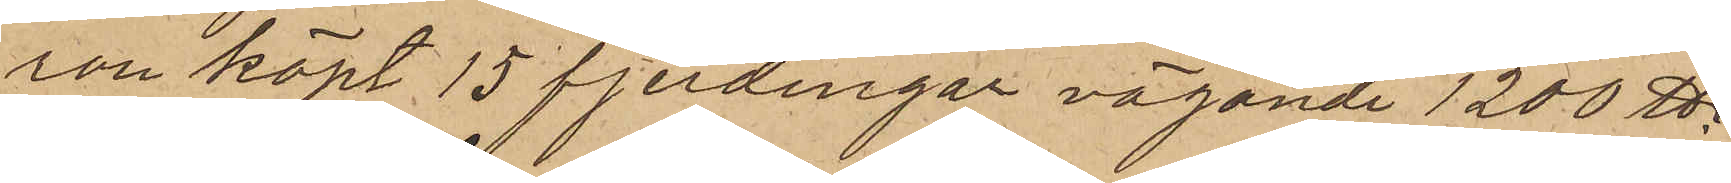san köpt 15 fjerdingar vägande 1200 ℔,
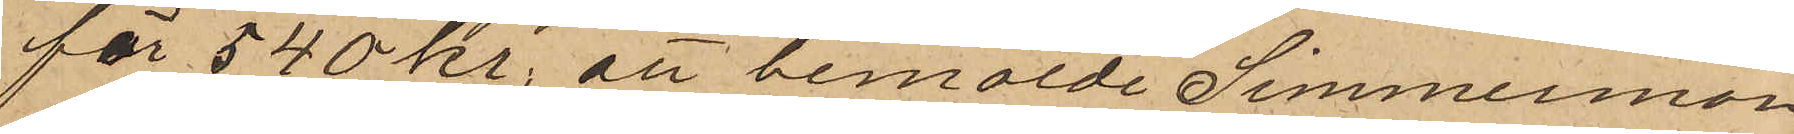för 540 kr. att bemälde Simmermon
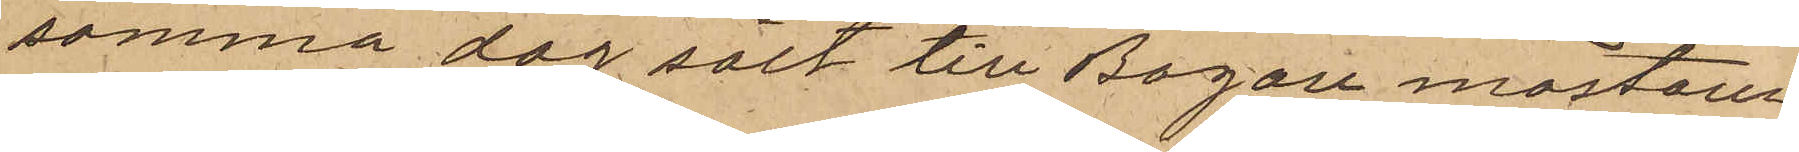samma dag sålt till Bagaremästare
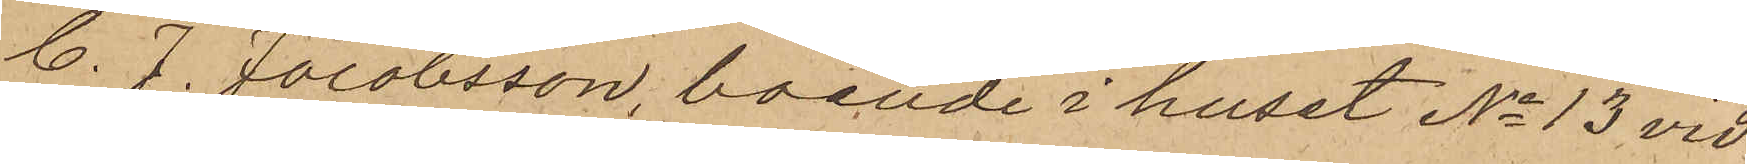C. J. Jacobsson, boende i huset No 13 vid
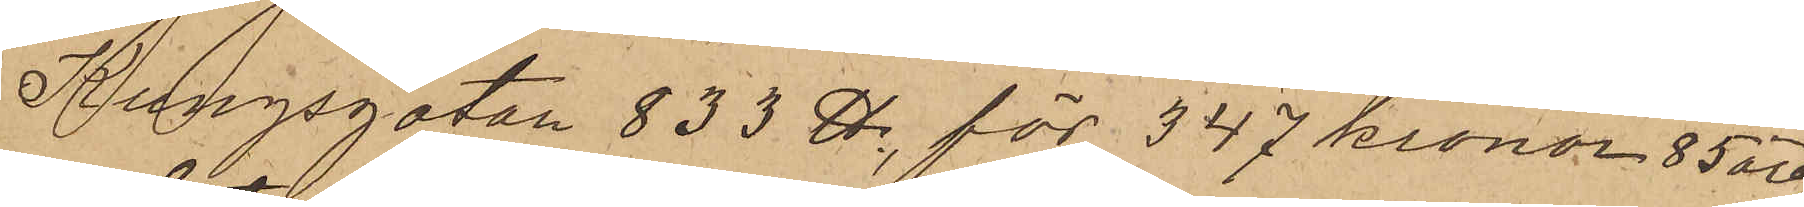Kungsgatan 833 ℔, för 347 kronor 85 öre,
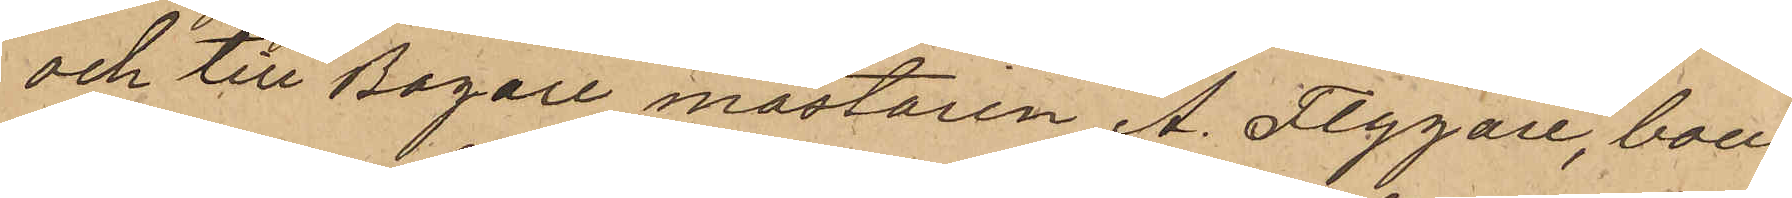och till Bagare mästaren A. Flygare, boen¬
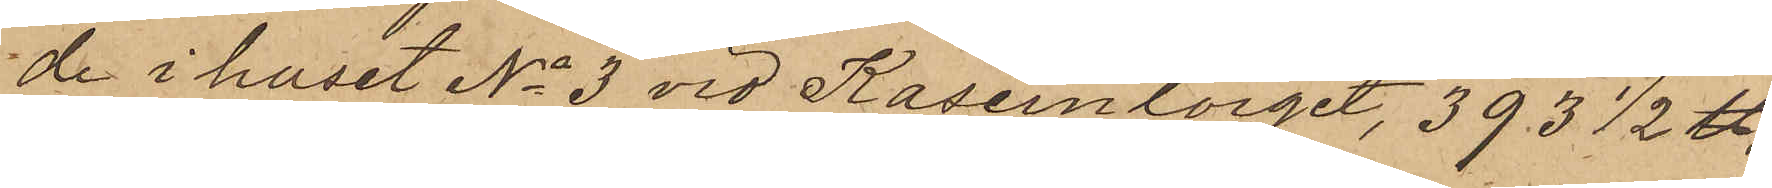de i huset No 3 vid Kaserntorget, 393 1/2 ℔,
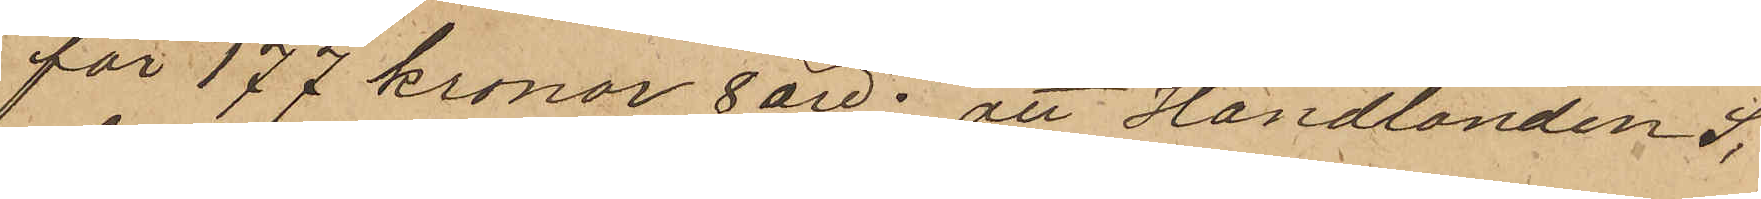för 177 kronor 8 öre; att Handlanden S.
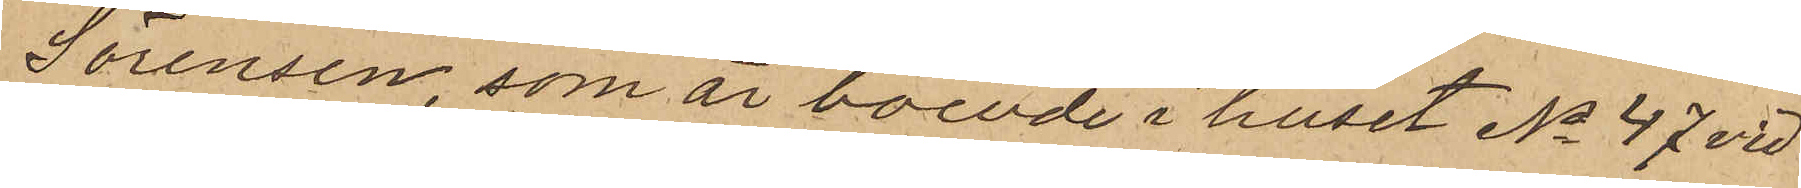Sörensen, som är boende i huset No 47 vid
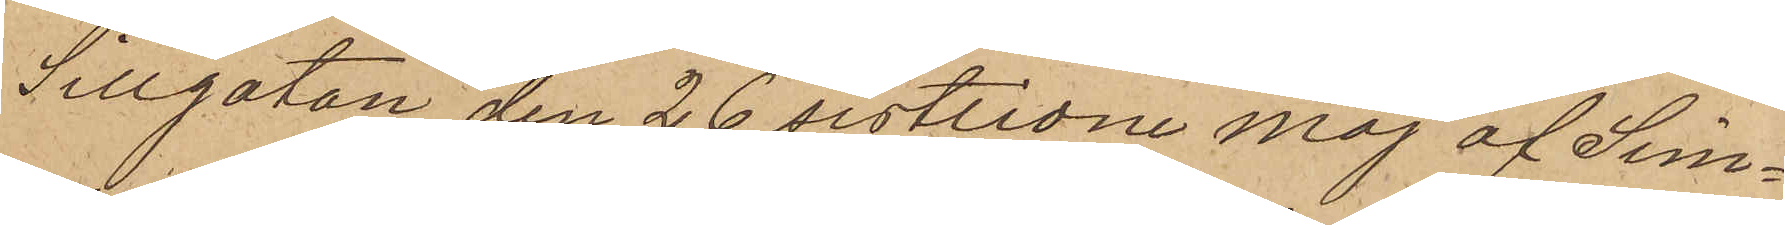Sillgatan den 26 sistlidne Maj af Sim¬
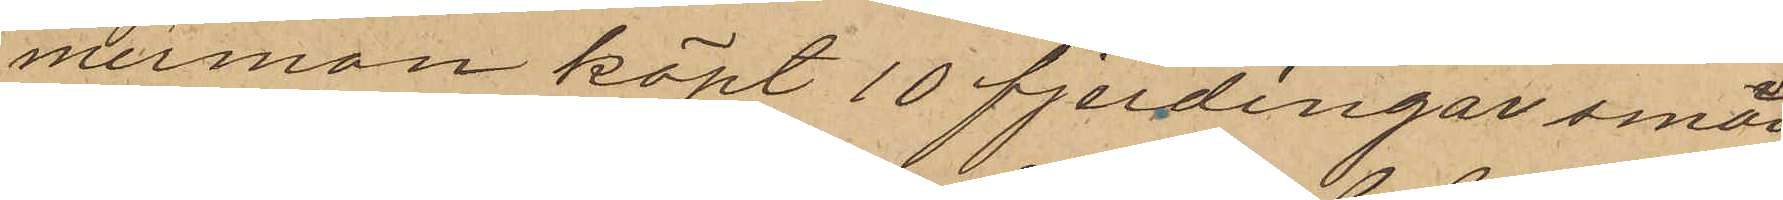mermon köpt 10 fjerdingar smör,
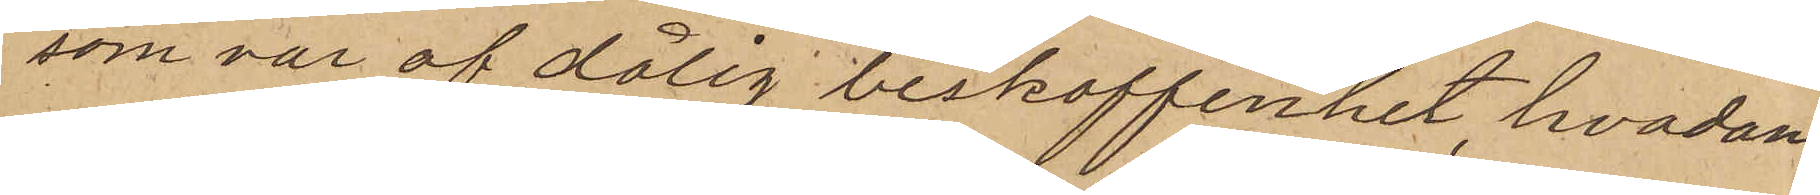som var af dålig beskaffenhet, hvadan
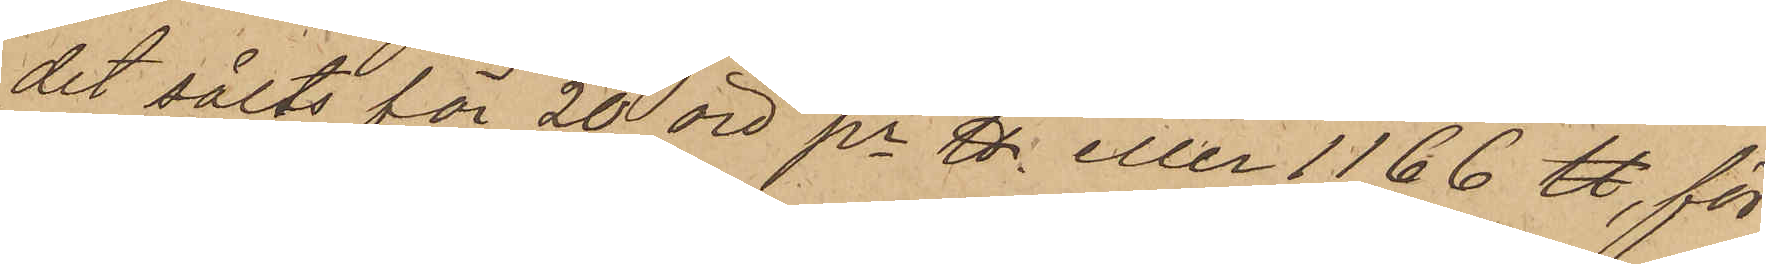det sålts för 20 öre pr ℔ eller 1166 ℔, för
